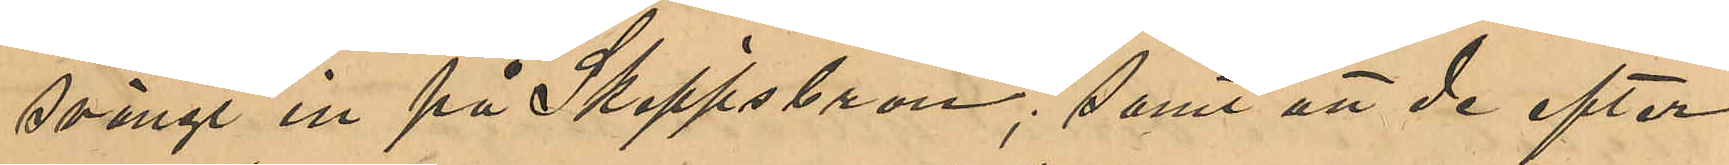svängt in på Skeppsbron; samt att de efter
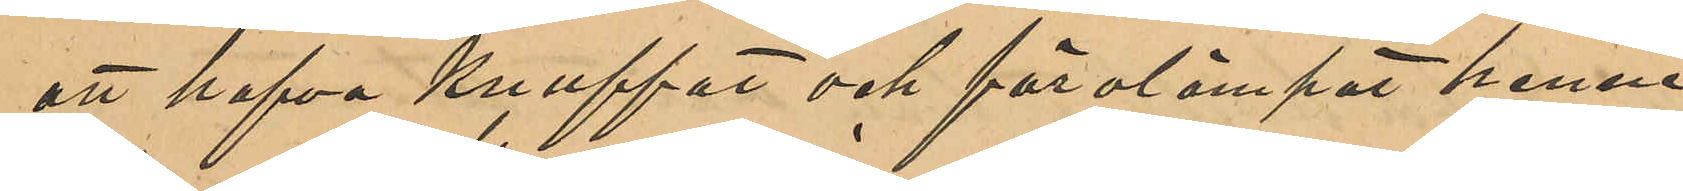att hafva knuffat och förolämpat henne
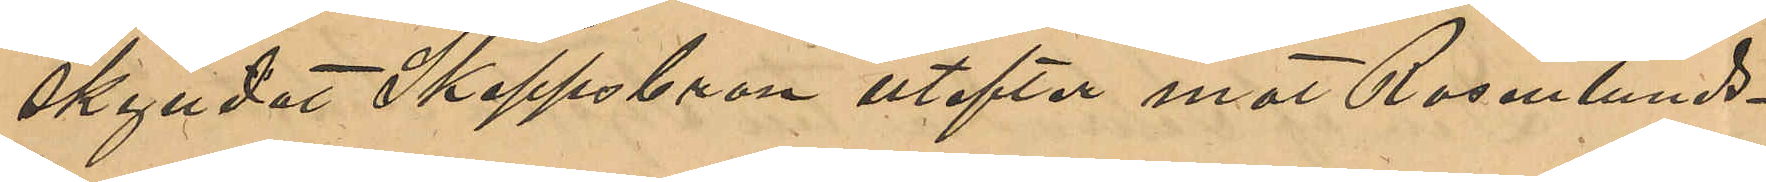skyndat Skeppsbron utefter mot Rosenlunds¬
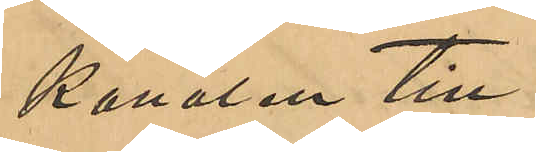kanalen till.
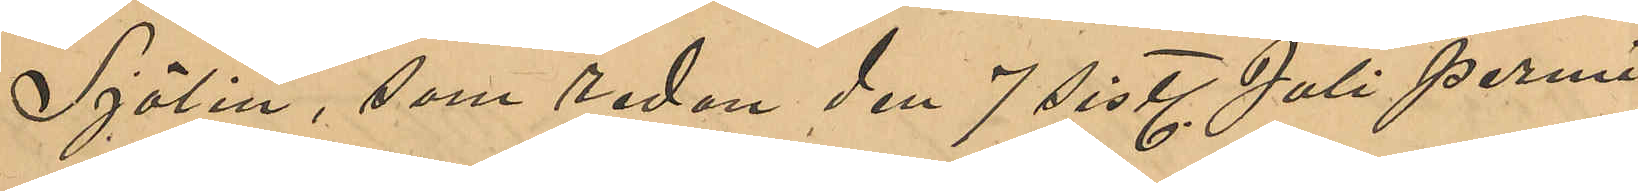Sjölin, som sedan den 7 sistl Juli permi¬
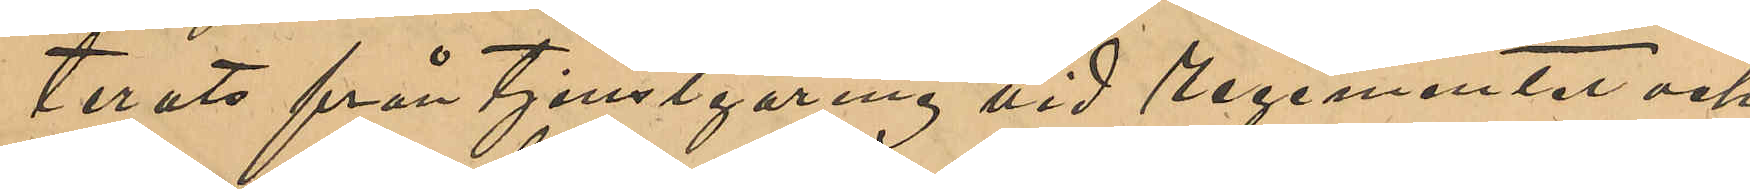terats från tjensgöring vid regementet och
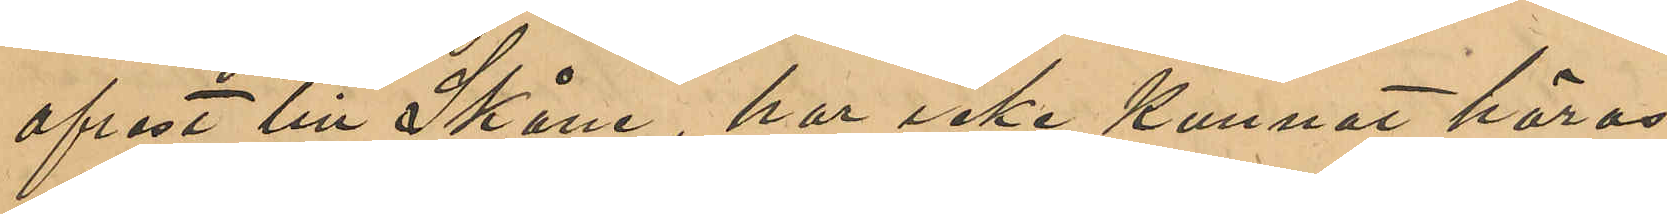afrest till Skåne, har icke kunnat höras,
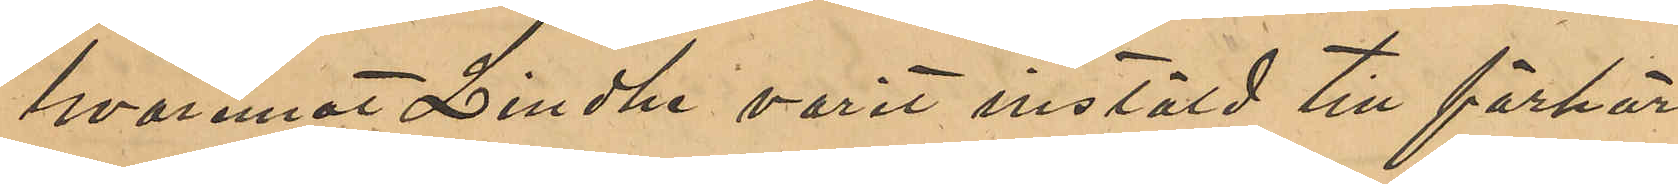hvaremot Lindhe varit instäld till förhör
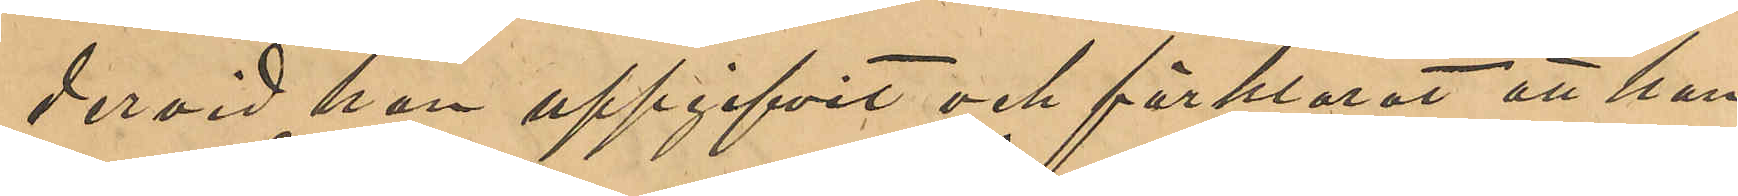dervid han uppgifvit och förklarat att han
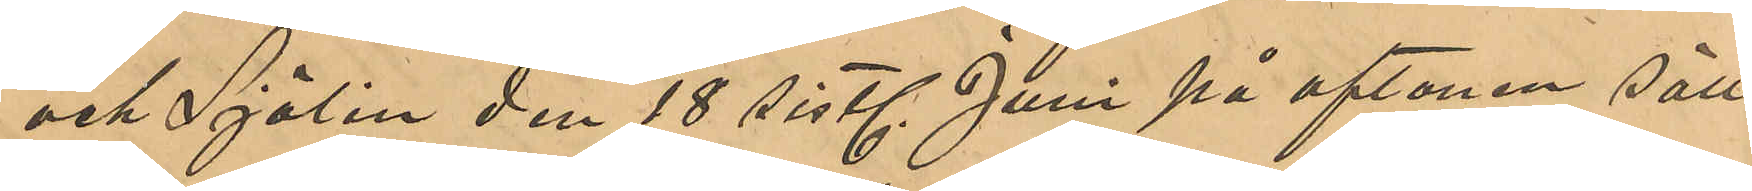och Sjölin den 18 sistl Juni på aftonen säll¬
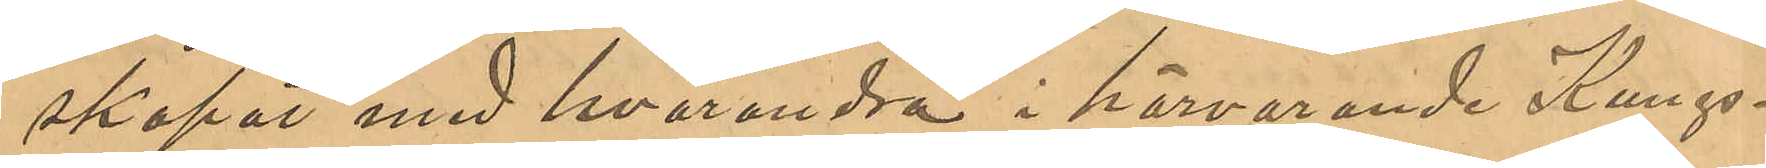skapat med hvarandra i härvarande Kungs¬
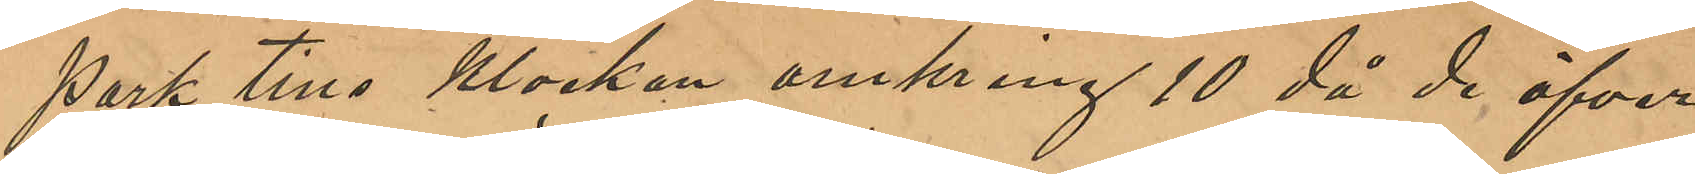park tills klockan omkring 10 då de öfver
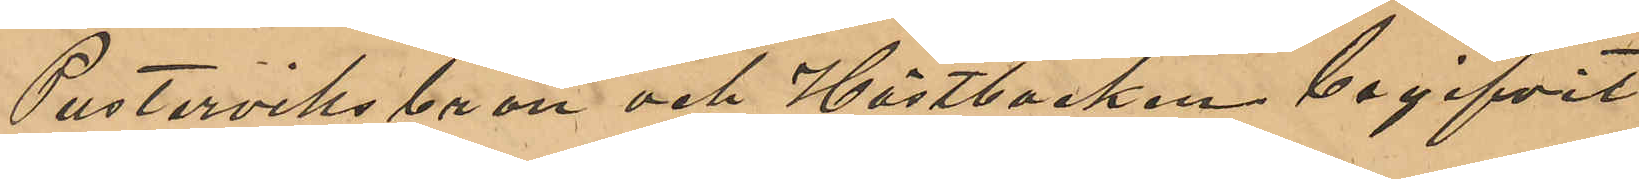Pusterviks bron och Hästbacken begifvit
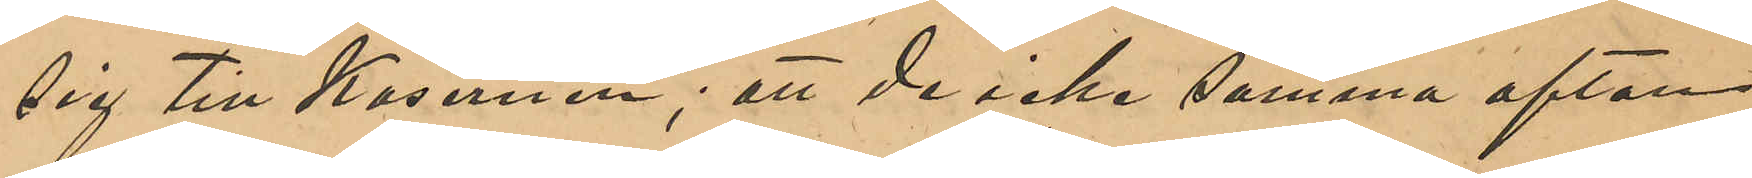sig till Kasernen; att de icke samma afton
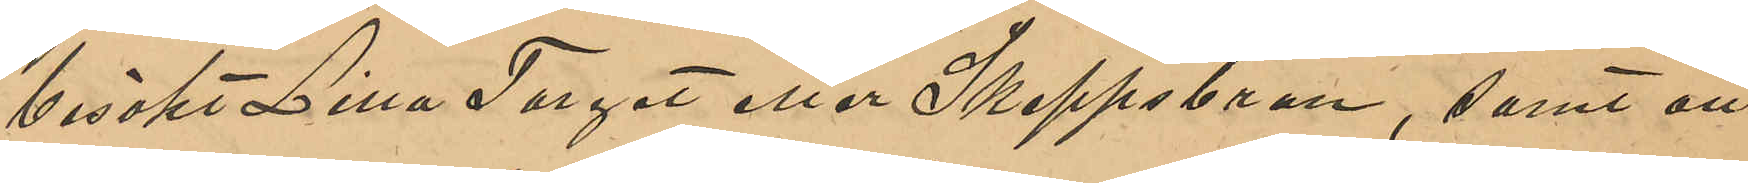besökt Lilla Torget eller Skeppsbron, samt att
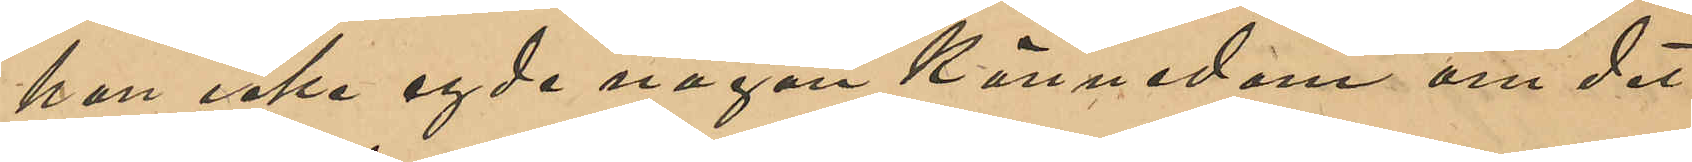han icke egde någon kännedom om det
